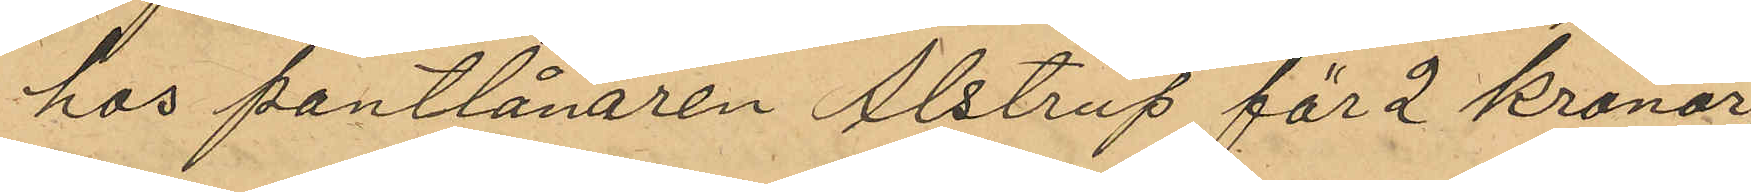hos pantlånaren Alstrup för 2 Kronor,
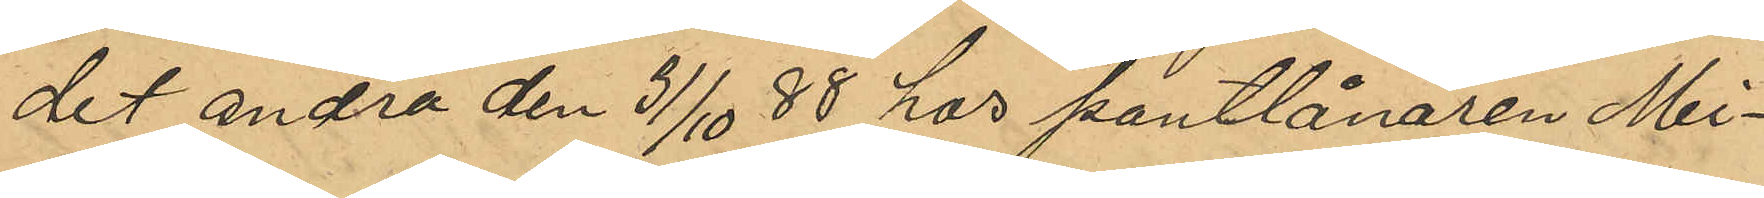det andra den 31/10 88 hos pantlånaren Mi¬
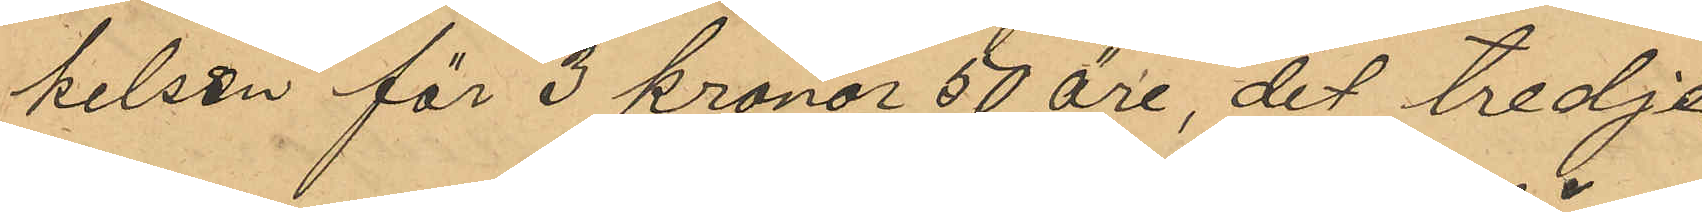kelsen för 3 Kronor 50 öre, det tredje
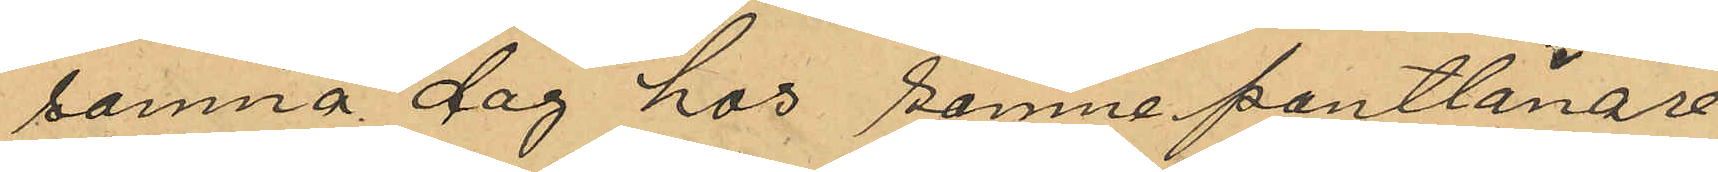samma dag hos samme pantlånare
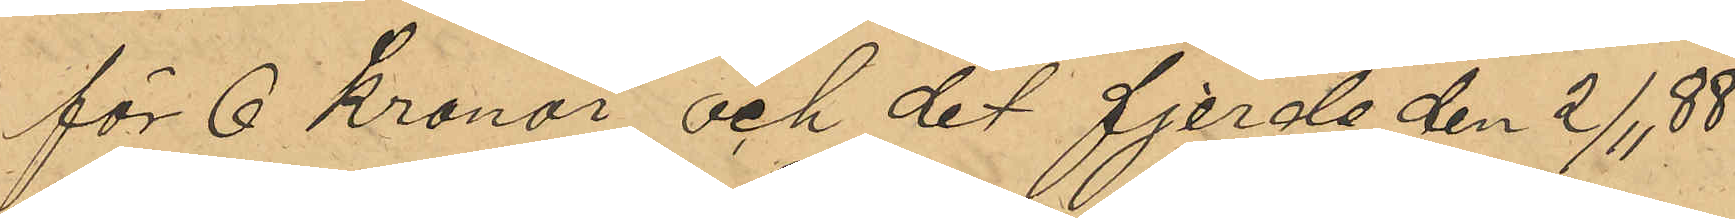för 6 Kronor och det fjerde den 2/11 88
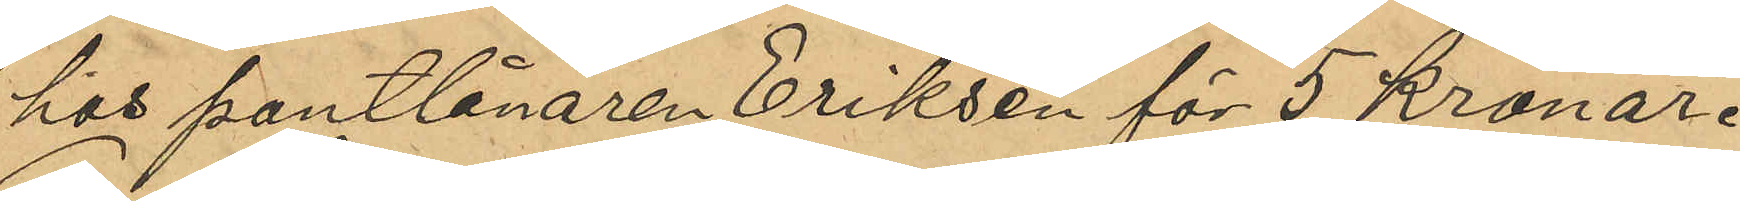hos pantlånaren Eriksen för 5 Kronor.
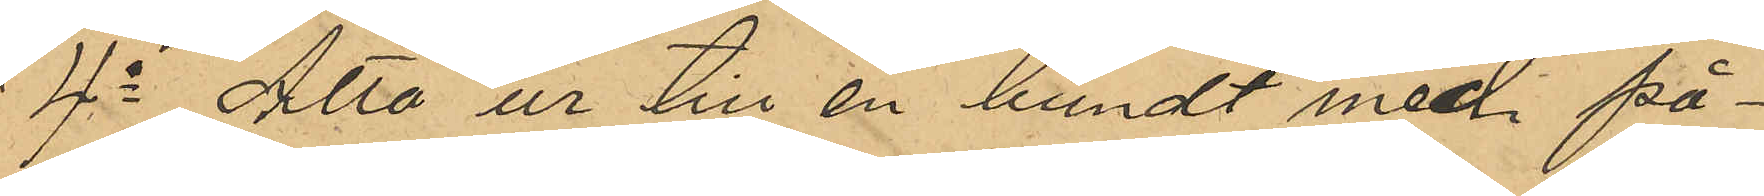4o Åtta ur till en bundt med på¬
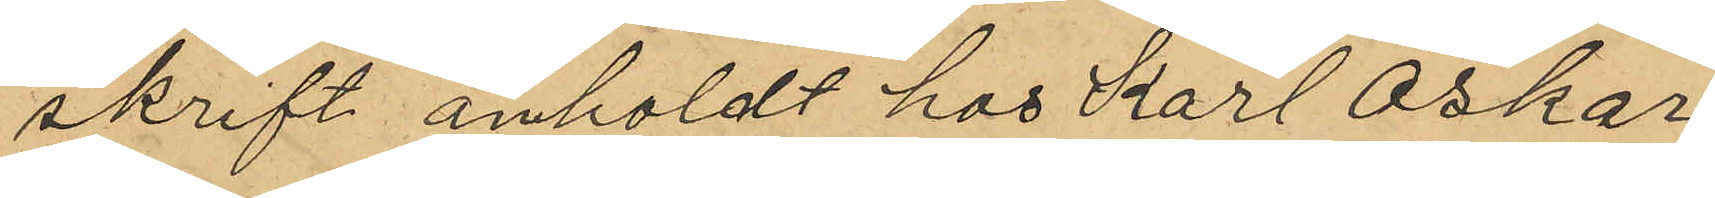skrift "anholdt hos Karl Oskar
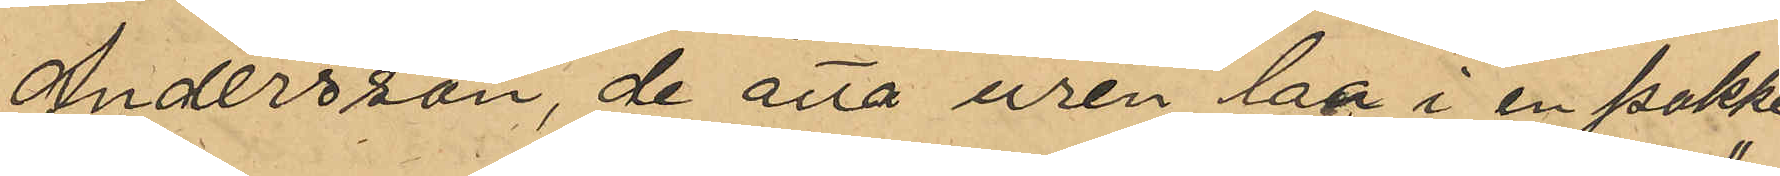Andersson, de åtta uren laa i en pakke
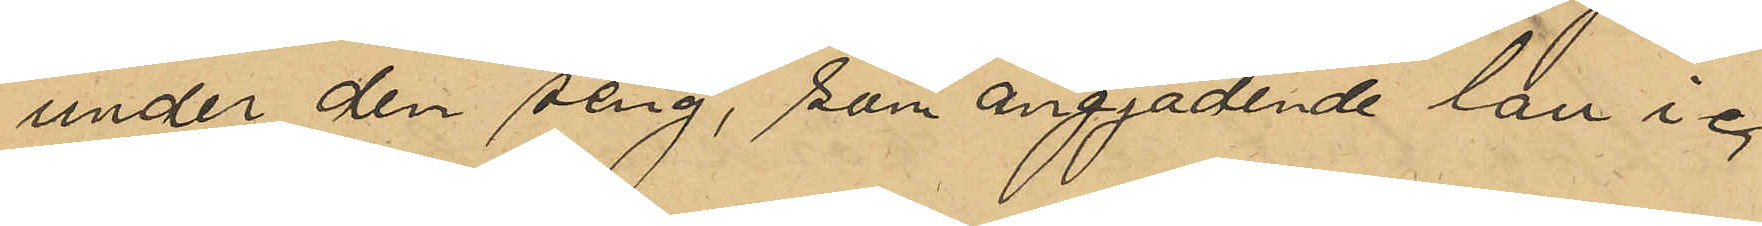under den seng, som angjadende lan i "
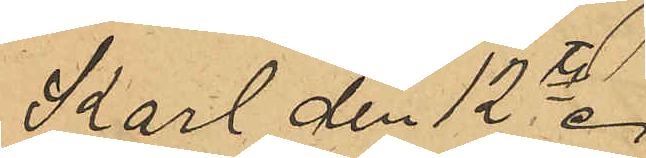Karl den 12te.
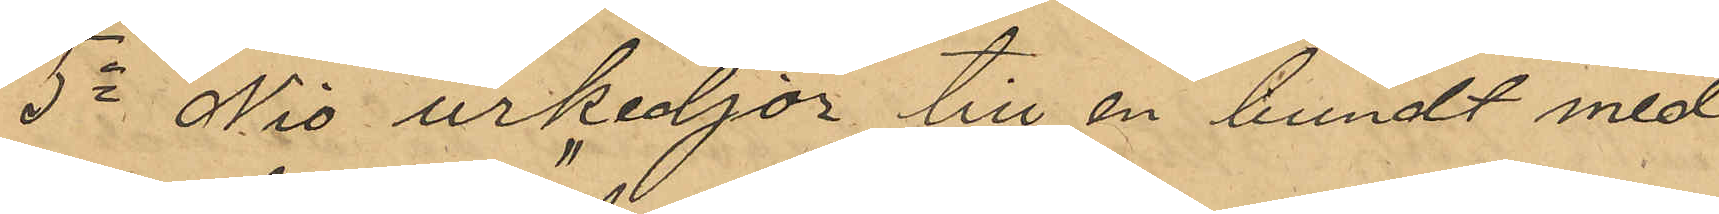5o Nio urkedjor till en bundt med
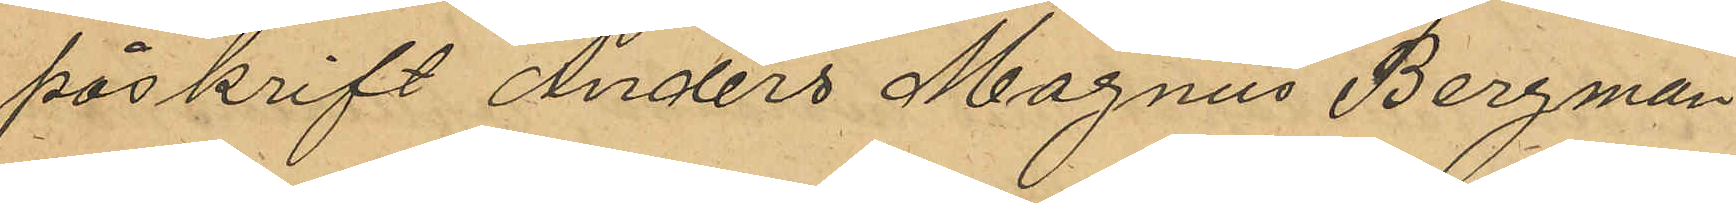påskrift "Anders Magnus Bergman"
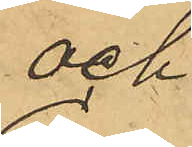och
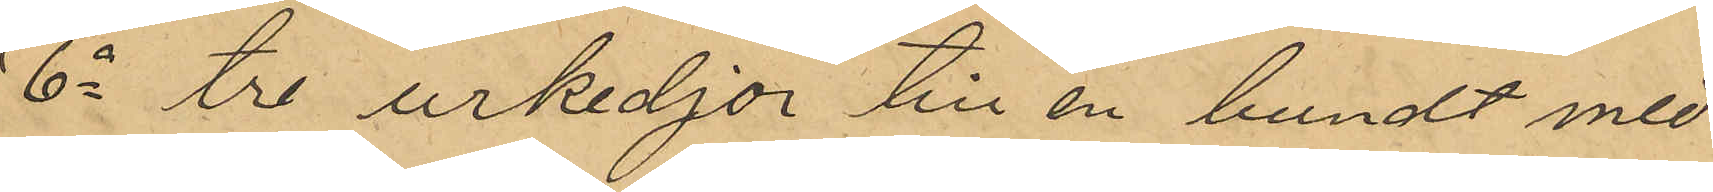6o tre urkedjor till en bundt med
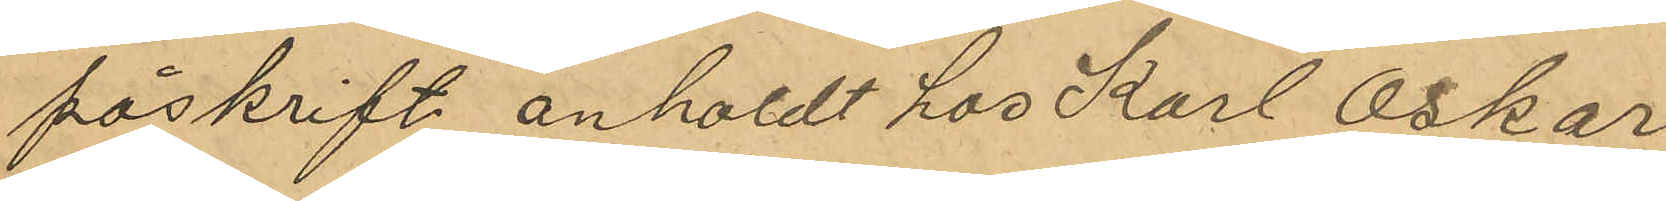påskrift "anholdt hos Karl Oskar
